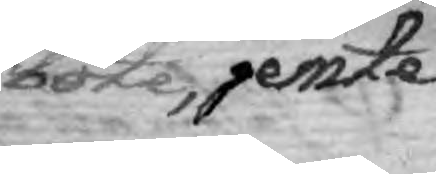böte, jemte
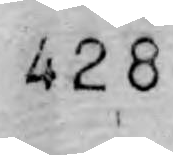428
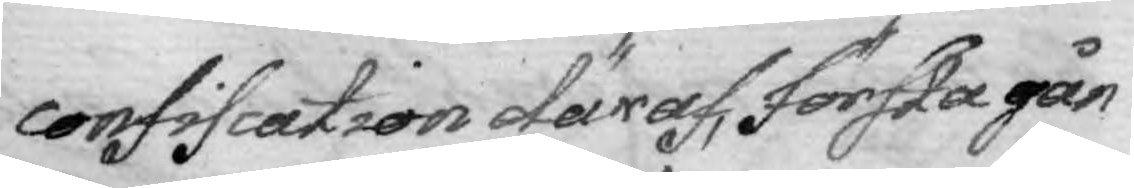confiscation däraf, första gån¬
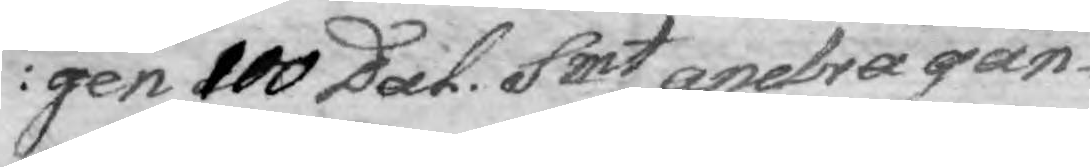gen 100 Dal. Smt andra gån¬
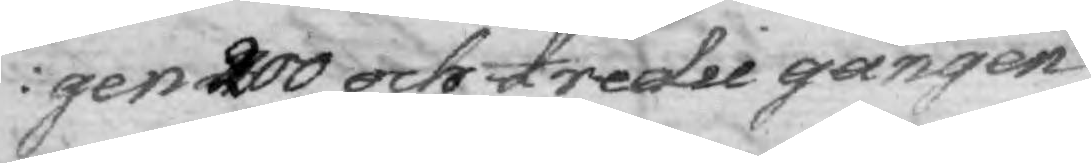gen 200 och tredie gången
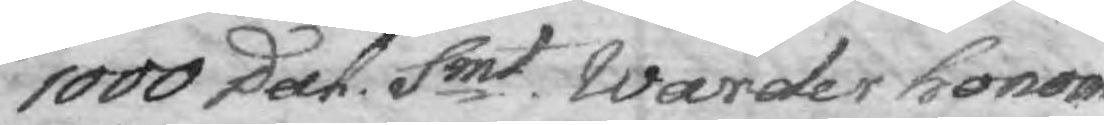1000 Dal. Smt. Warder honom
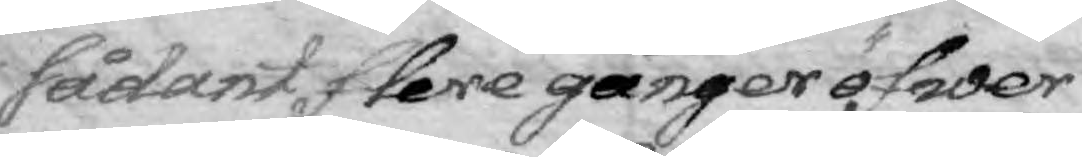sådant flere gånger öfwer
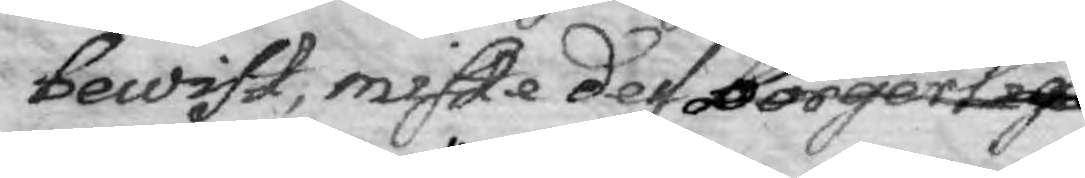bewist, miste dess Borgerlige
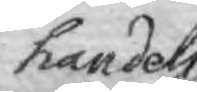handels
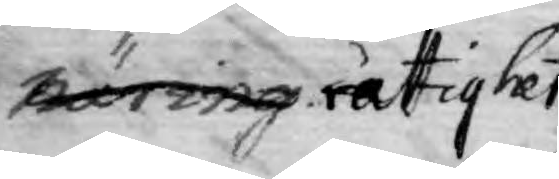näring rättighet.
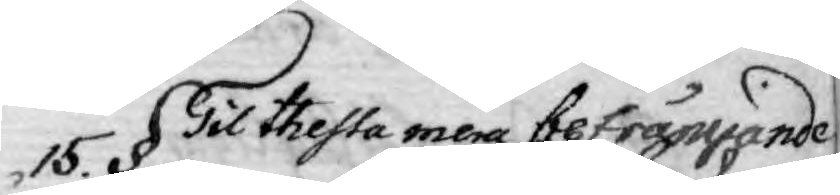15. § Till thessa mera befrämjande
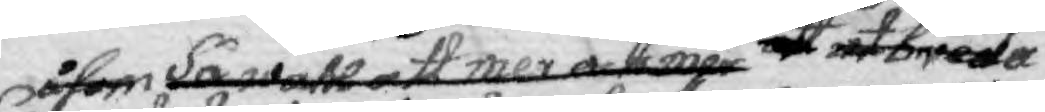Så wähl att mer och mer att utbreda
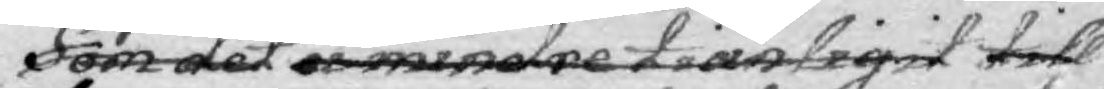Somåsom det ei mindre tiänligit till
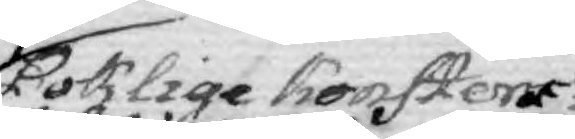Boklige Konsters
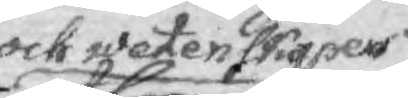och wetenskapers
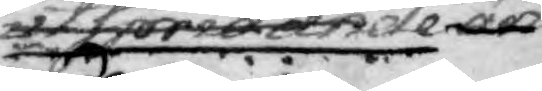utspridande än
